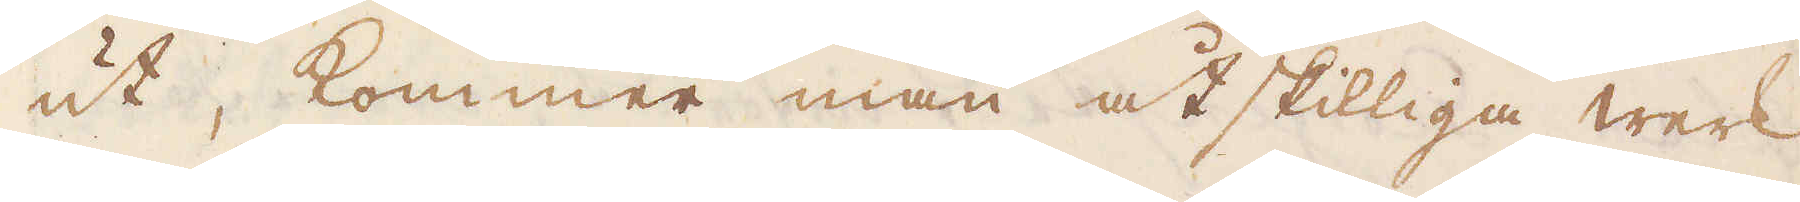ut, kommer man åtskilliga werk
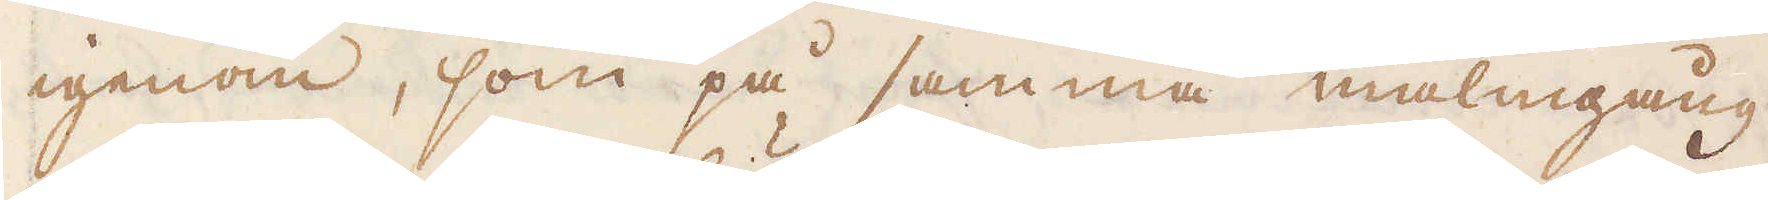igenom, som på samma malmgång
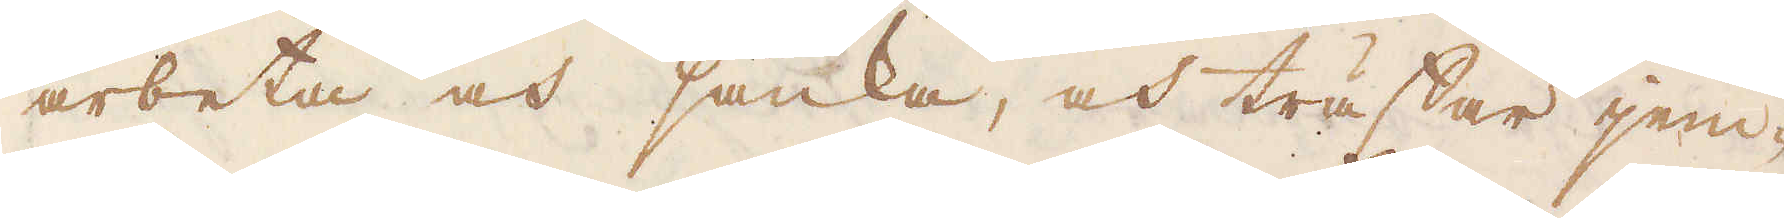arbeta och sänka, och träffar jem-
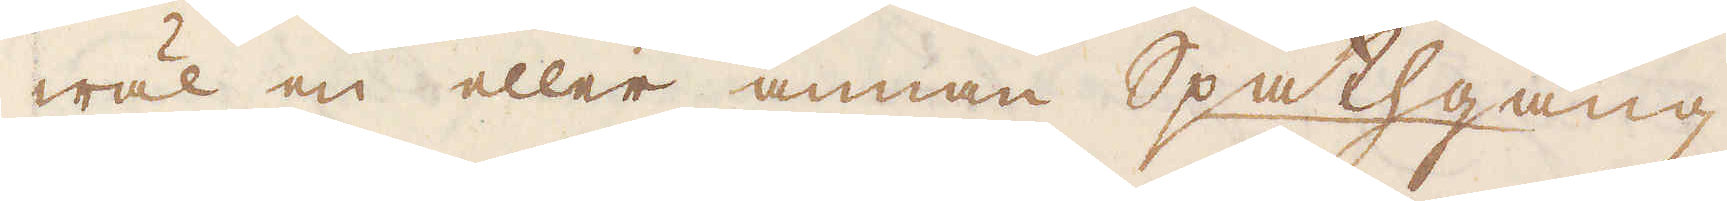wäl en eller annan Spathgång
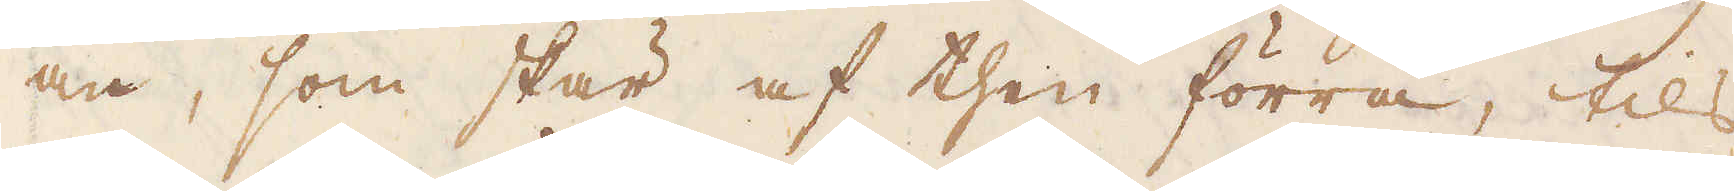an, som skär af then förra, tils
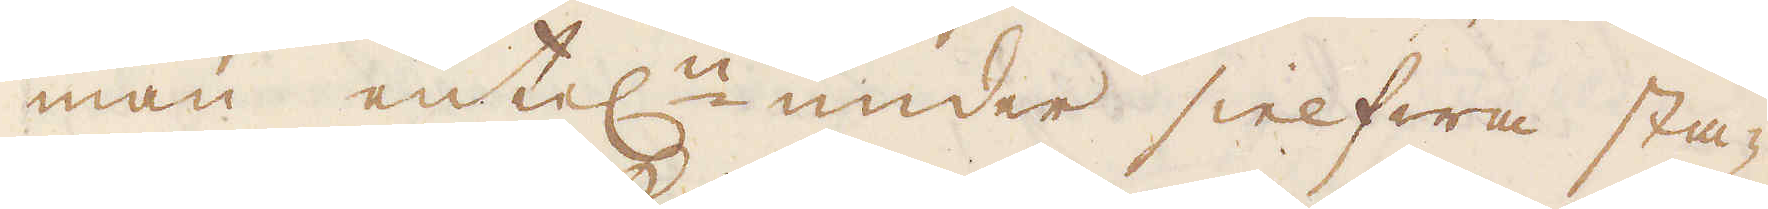man entel:n under sielfwa sta-
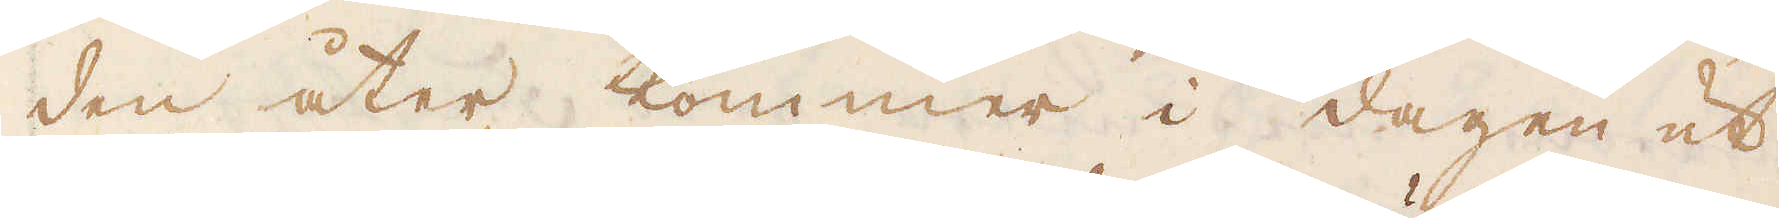den åter kommer i dagen ut.
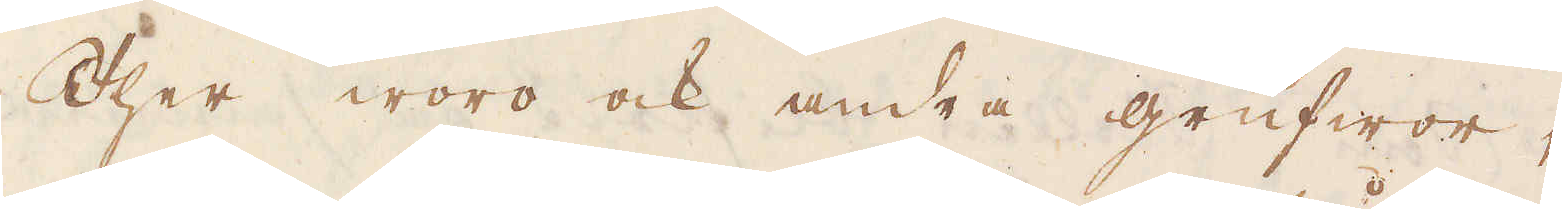Ther woro ock andra grufwor,
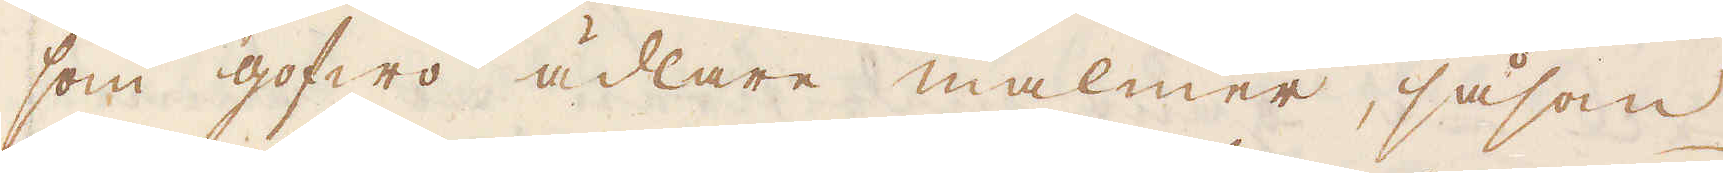som gofwo ädlare malmer, såsom
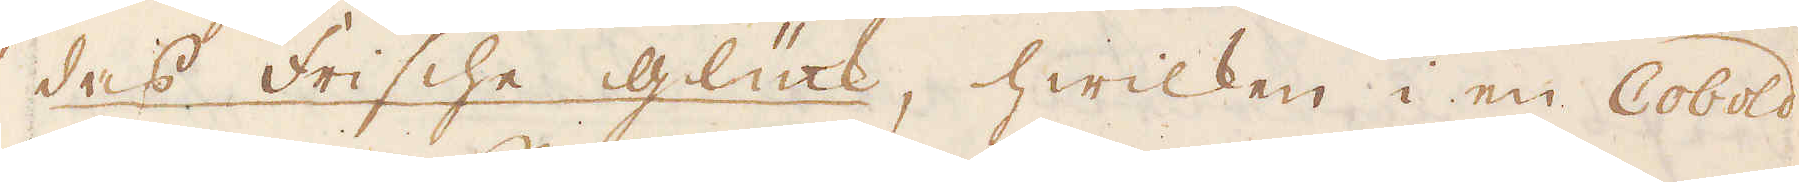das Frische Glück, hwilken i en Cobold
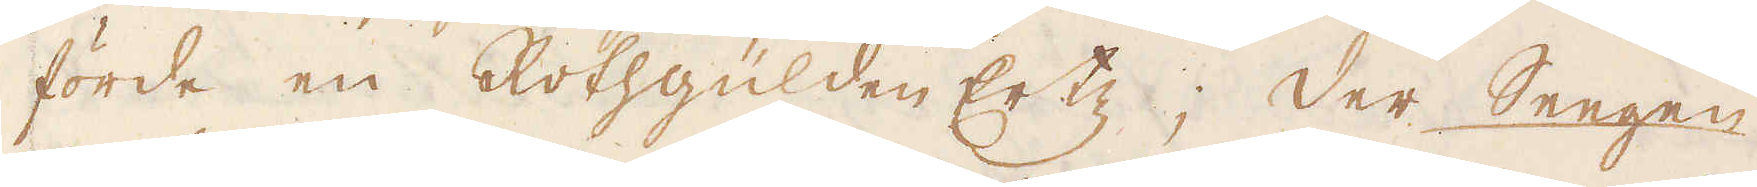förde en Rothgülden Ertz; der Seegen
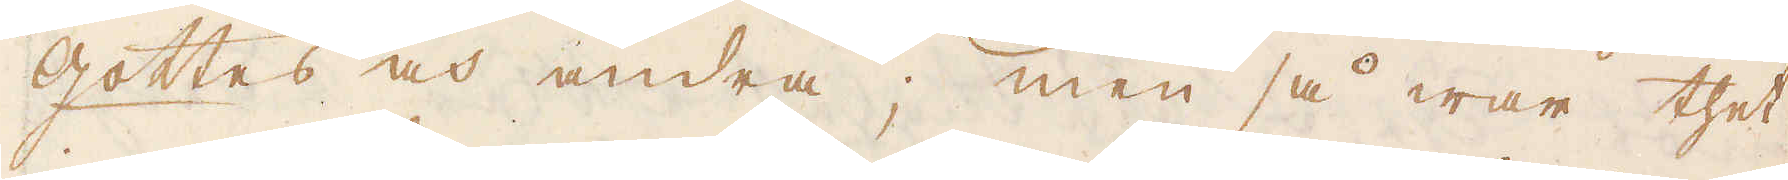Gottes och andra; men så war thet
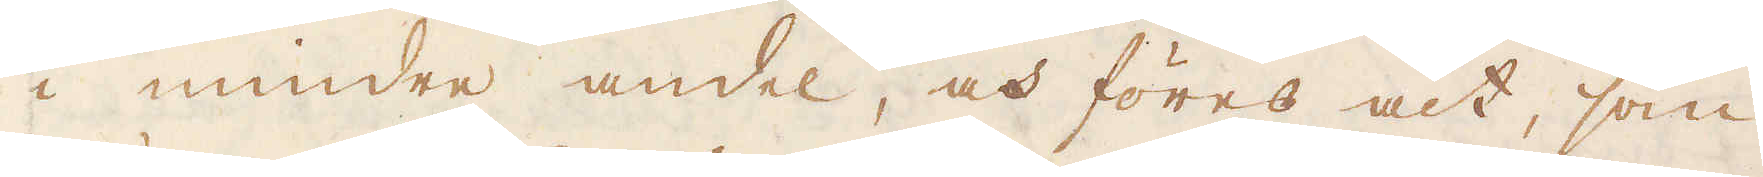i mindre andel, och föres alt, som
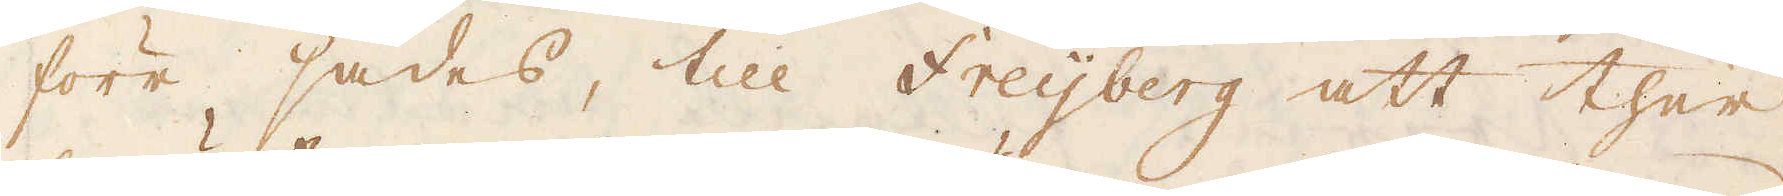förr sades, till Freijberg att ther
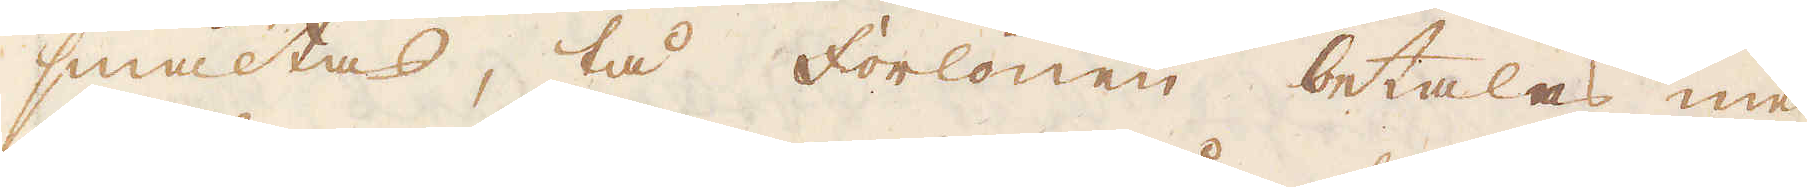smältas, tå forlönen betalas med
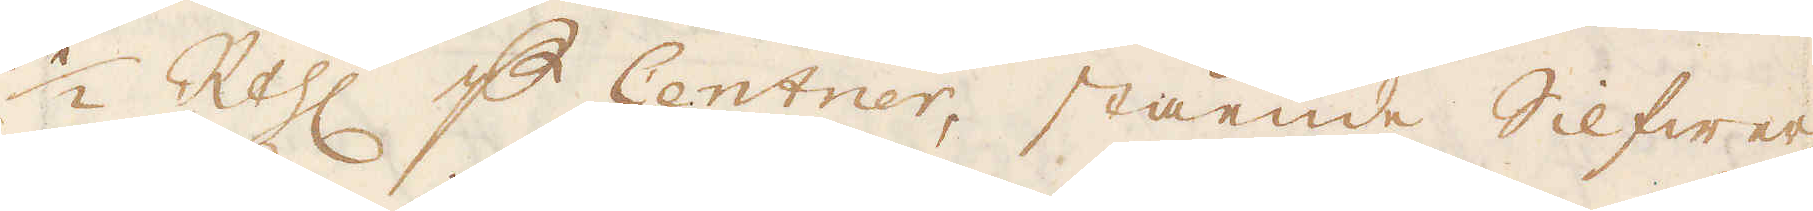1/2 R:thlr p Centner, stående Silfwer-
